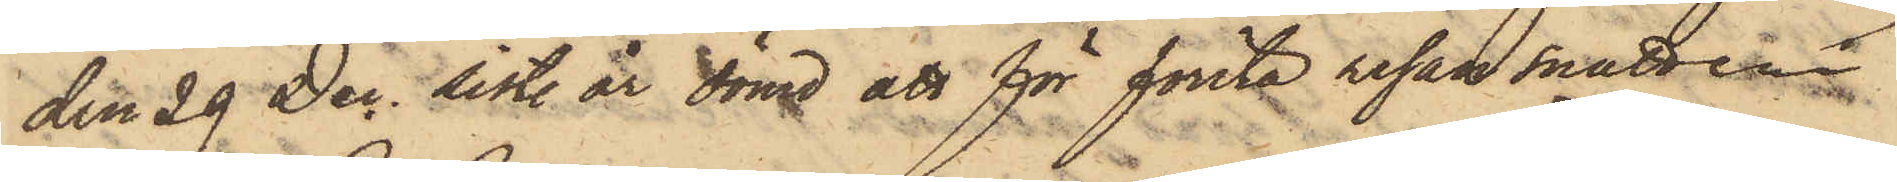den 29 Dec. sist. år dömd att för första resan snatteri
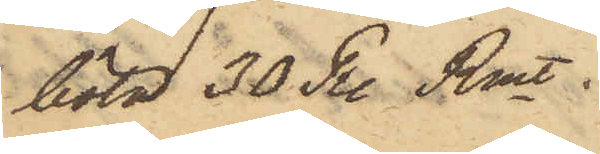böta 30 R. Rmt.
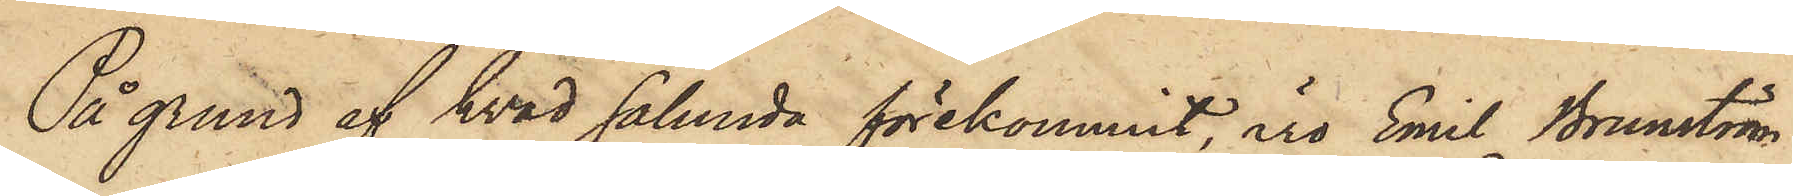På grund af hvad sålunda förekommit, äro Emil Brunström
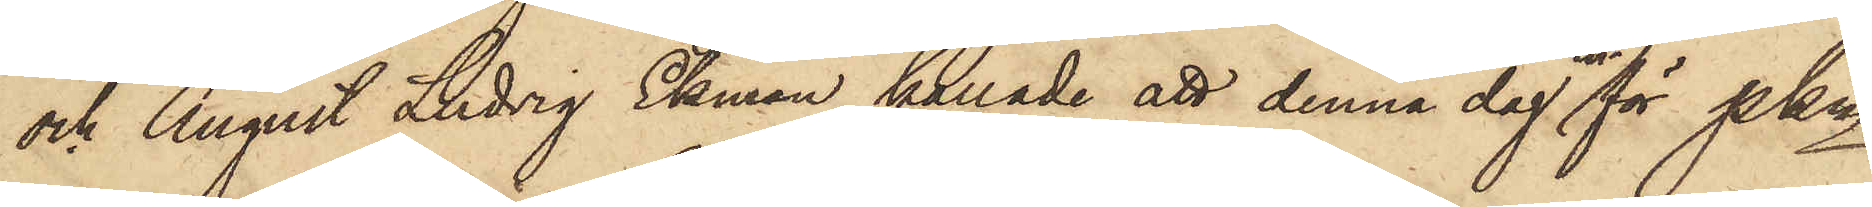och August Ludvig Ekman kallade att denna dag inför Pkn
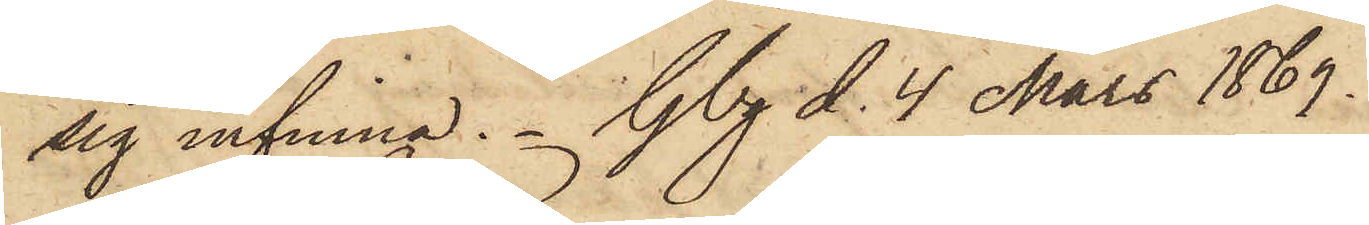sig infinna. Gbg d. 4 Mars 1869.
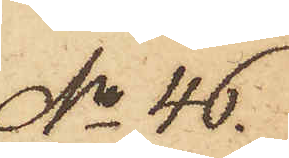No 46.
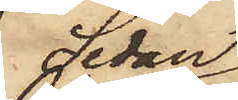Sedan
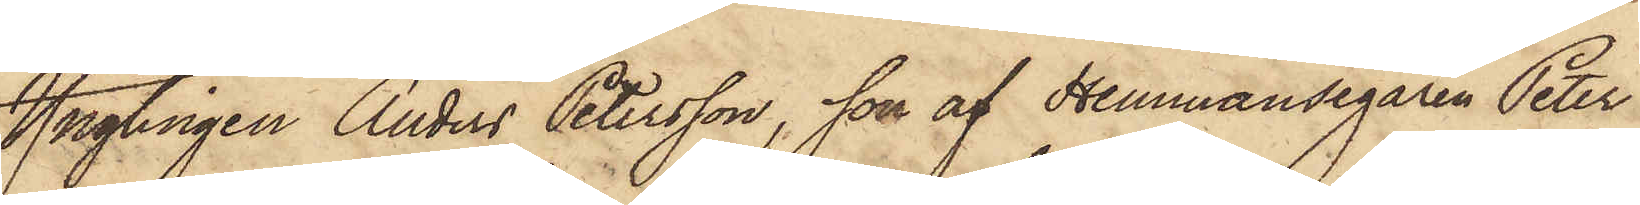Ynglingen Anders Petersson, son af Hemmansegaren Peter
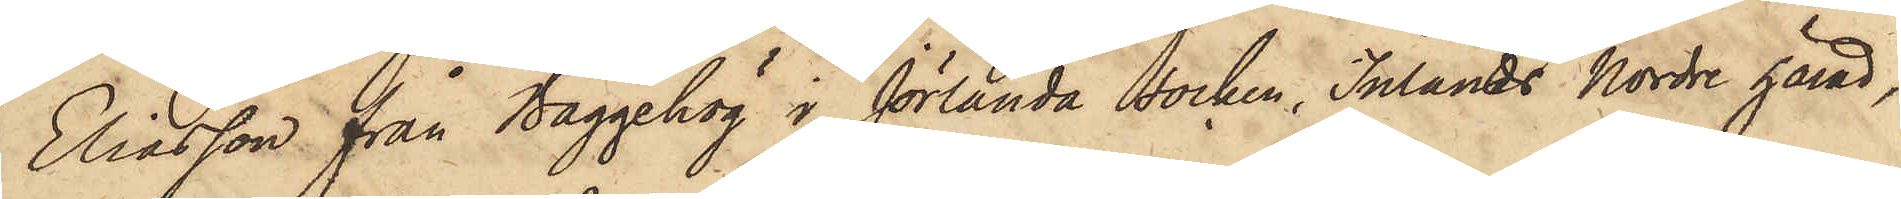Eliasson från Baggehög i Jörlanda Socken, Inlands Nordre härad,
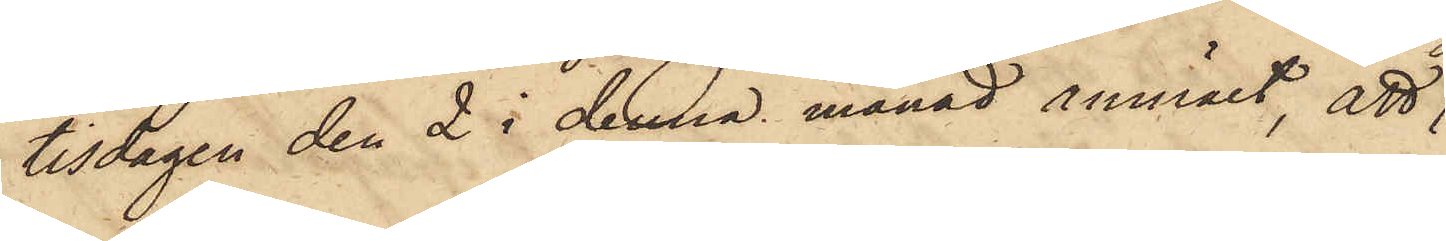tisdagen den 2 i denna månad anmält, att
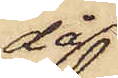då
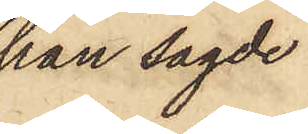han sagde
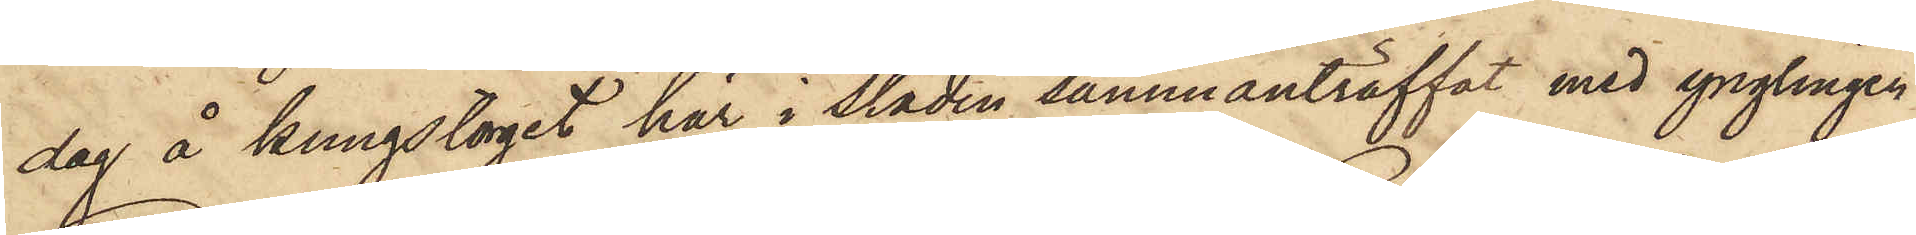dag å kungstorget här i staden sammanträffat med ynglingen
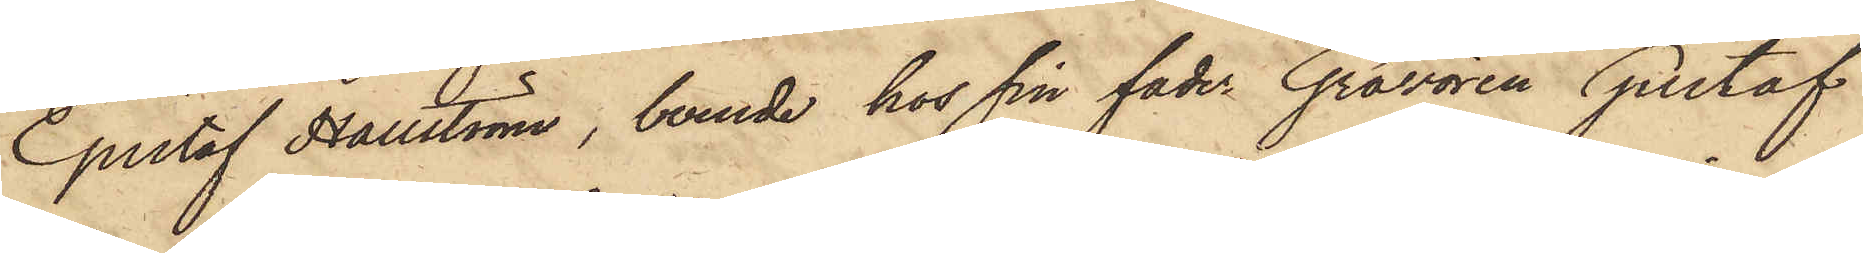Gustaf Hallström, boende hos sin fader Gravören Gustaf
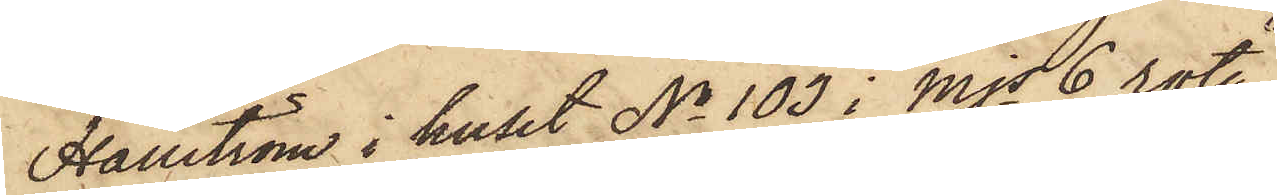Hallström i huset No 103 i Mjs 6 rote,
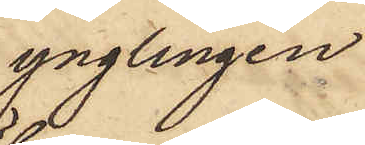ynglingen
